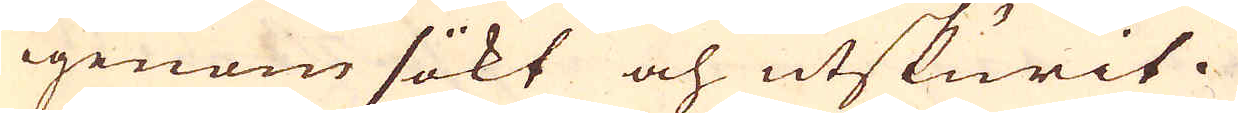igenom sökt och utskurit.
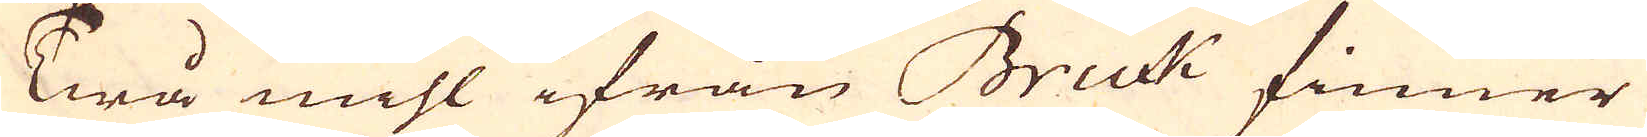Twå mihl ifrån Bruck finner
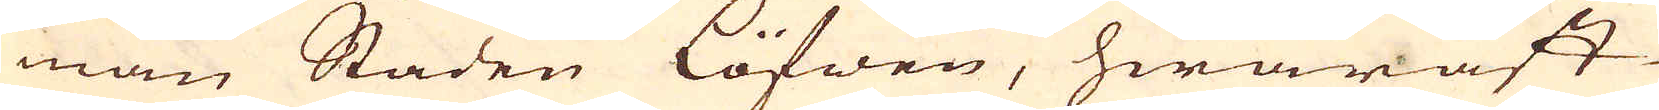man Staden Löfwen, hwaräst
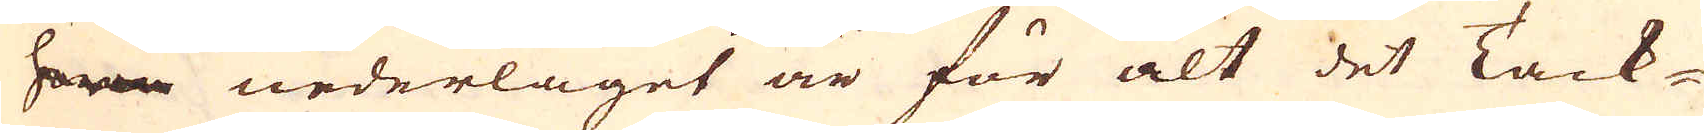har nederlaget är för alt det Tack-
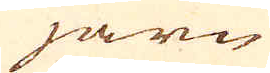järn
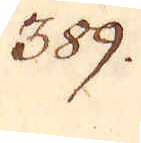389.
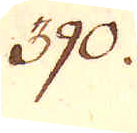390.
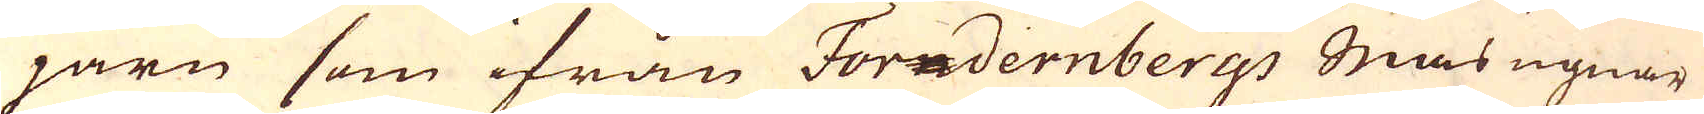järn som ifrån Forndernbergs Masugnar
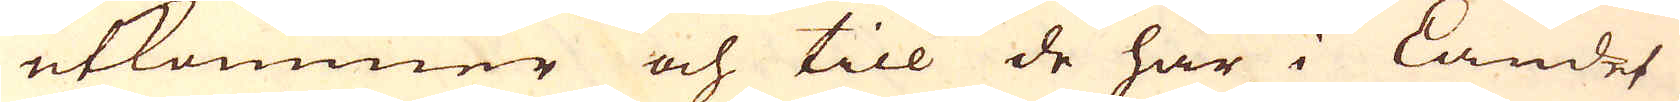utkommer och till de här i Landet
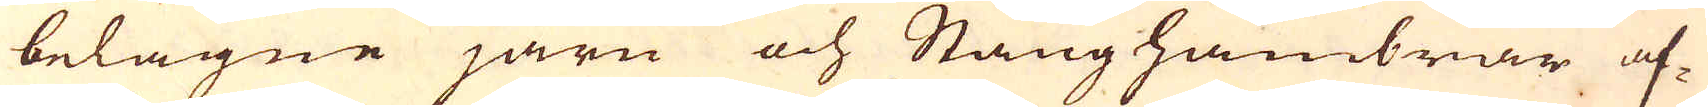belägne järn och Stånghambrar af-
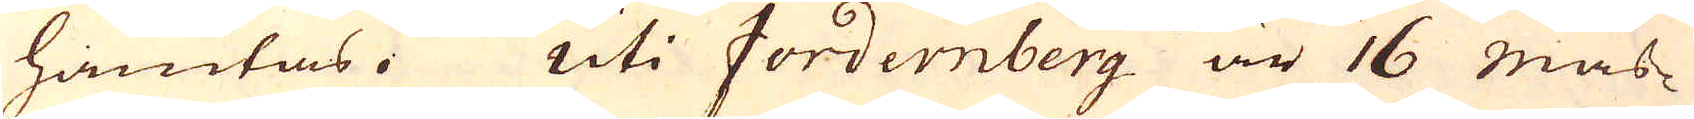hämtas. Uti Fordernberg är 16 Mas-
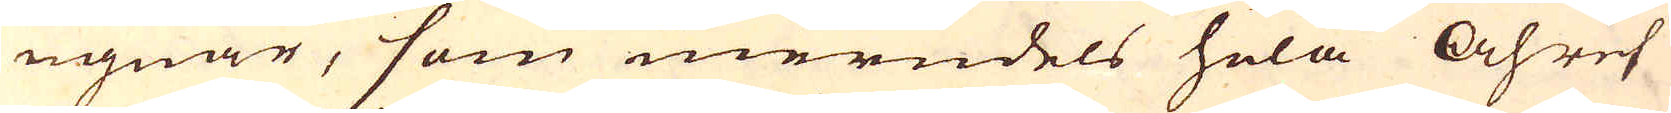ugnar, som merndels hela Åhret
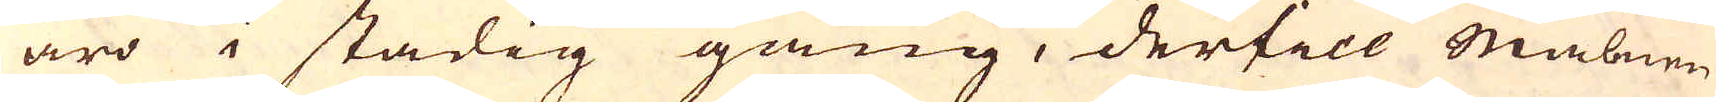äro i stadig gång, dertill Malmen
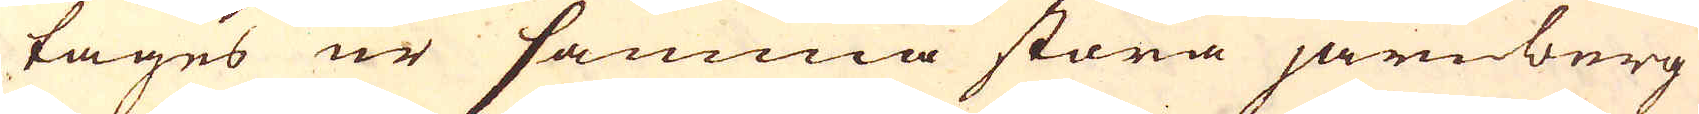tages ur samma stora järnberg
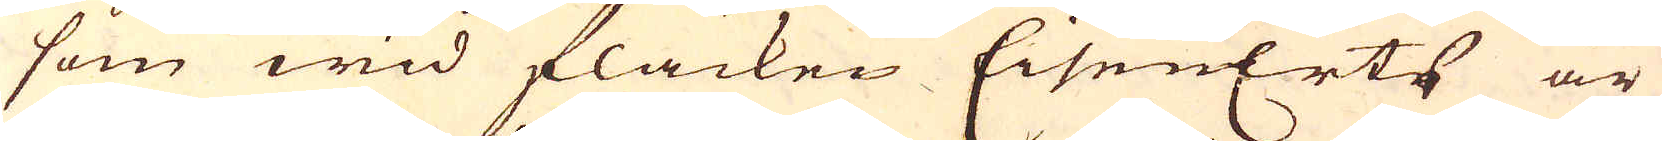som wid fläcken EissenErts är
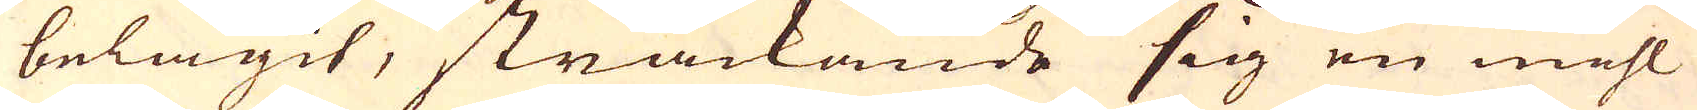belägit, sträckande sig en mihl
